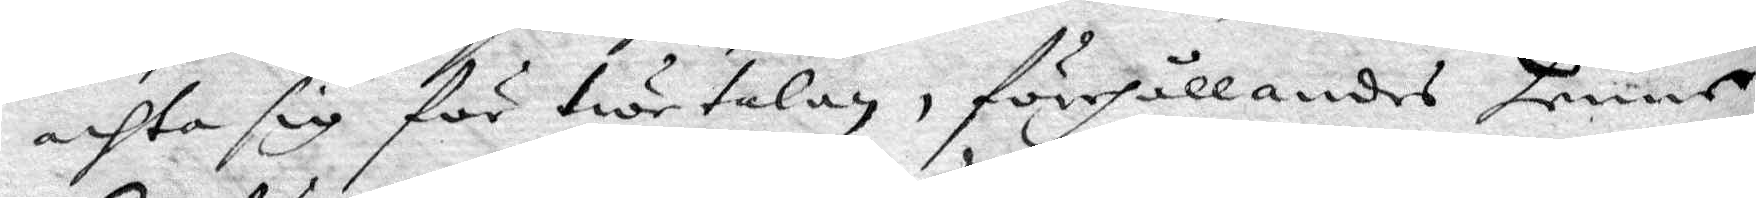achta sig för twetalan, förehållandes henne
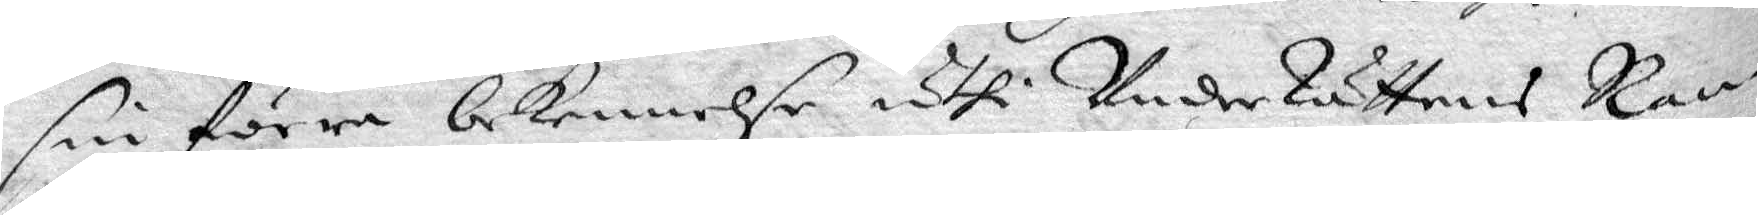sin förra bekennelse uthi UnderRättens Ran¬
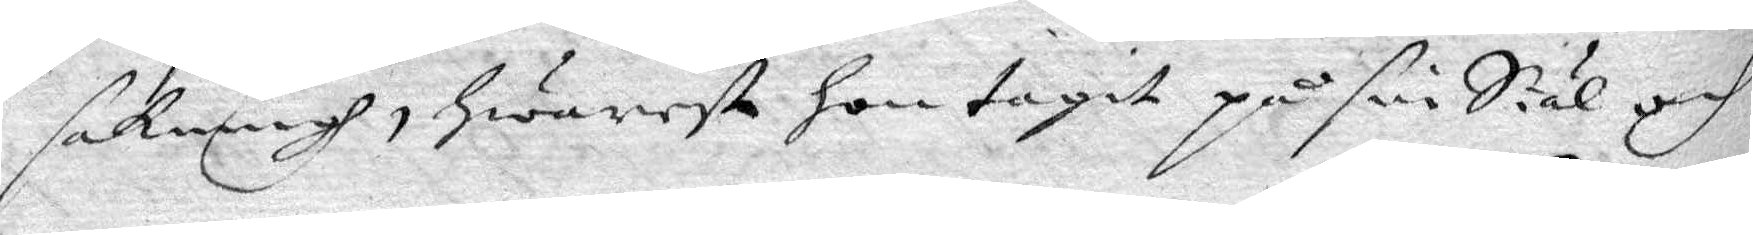sakningh, hwarest hon tagit på sin Siäl och
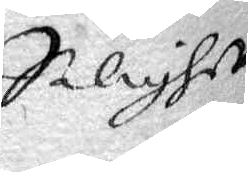Salighet
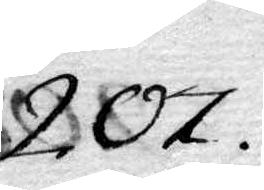207.
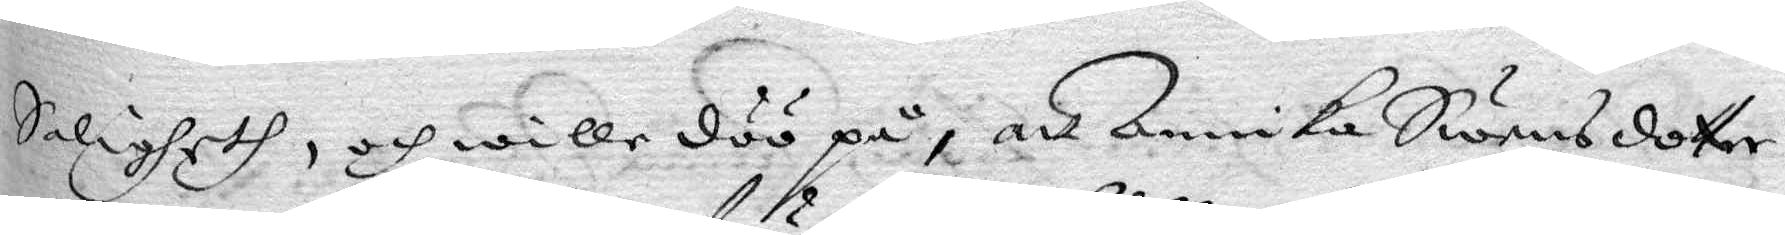Salighet, och wille döö på, att Annika Swensdotter
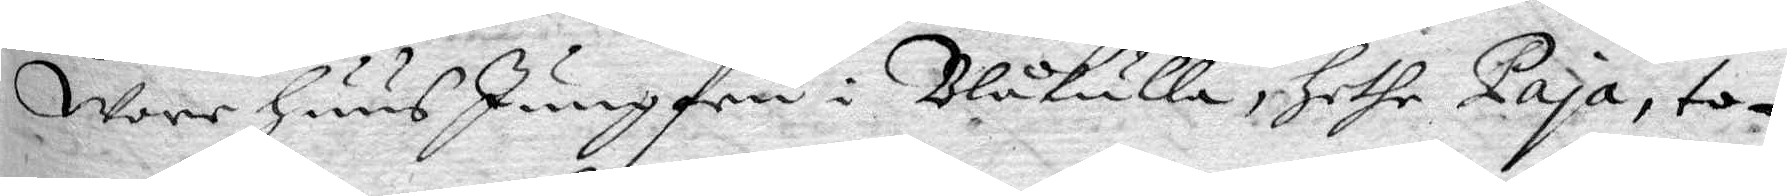Wore huusJungfru i Blåkulla, hethe Paja, to¬
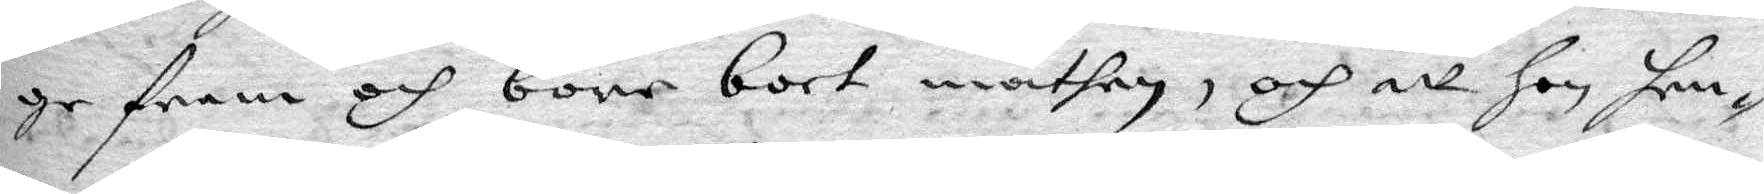ge fram och bore bort mathen, och att hon hen¬
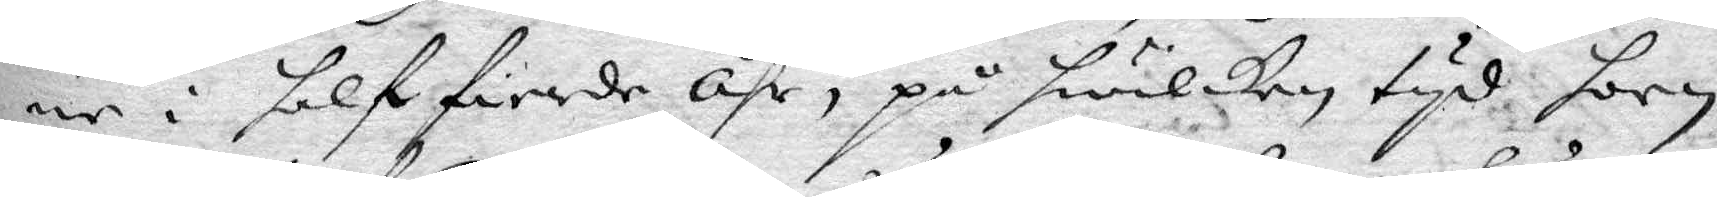ne i halffierde Åhr, på hwilken tyd hoon
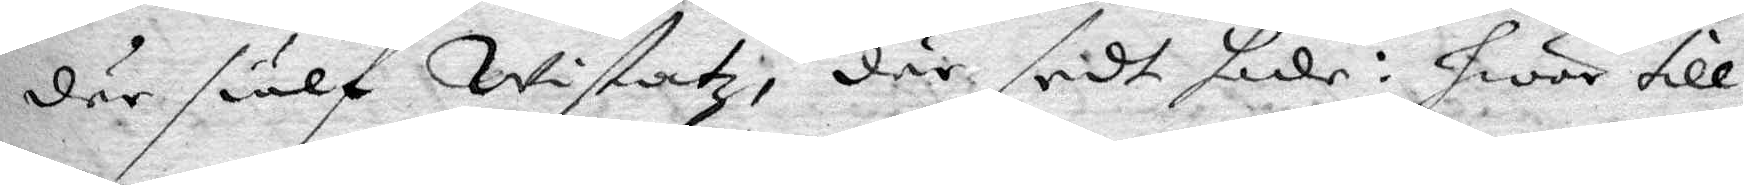där siälf Wistatz, där sedt hade: hwar till
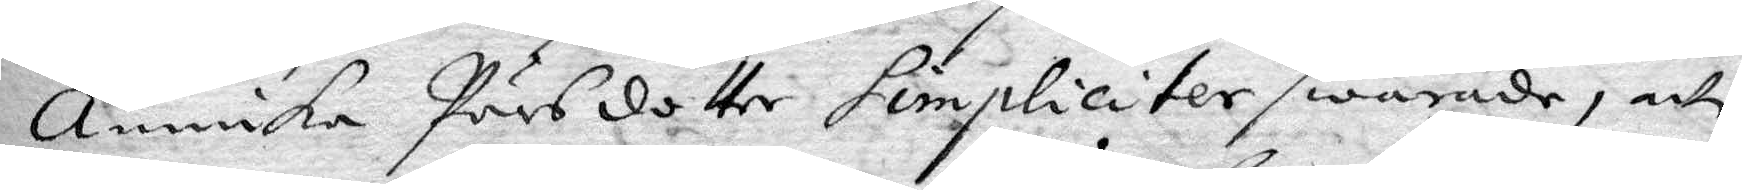Annika Pärsdotter simpliciter swarade, att
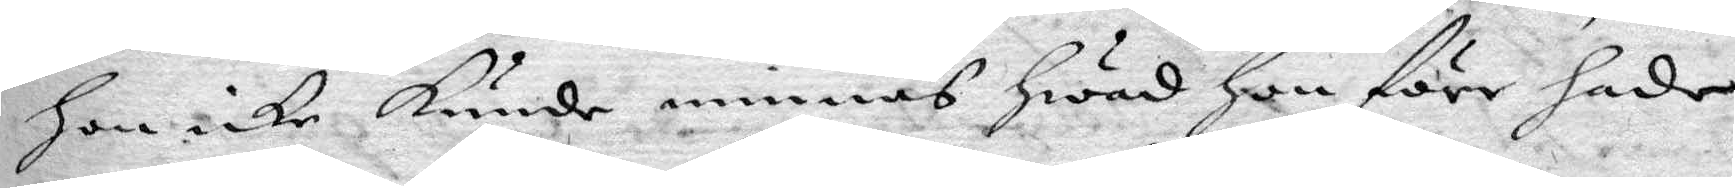hon icke kunde minnas hwad hon förr hade
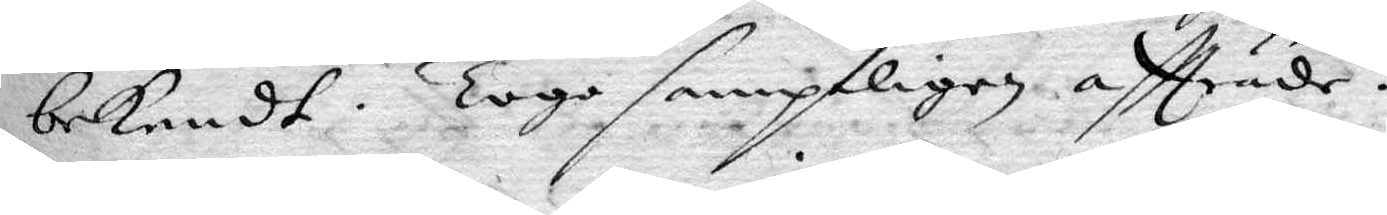bekendt. Togo samptligen aftträde.
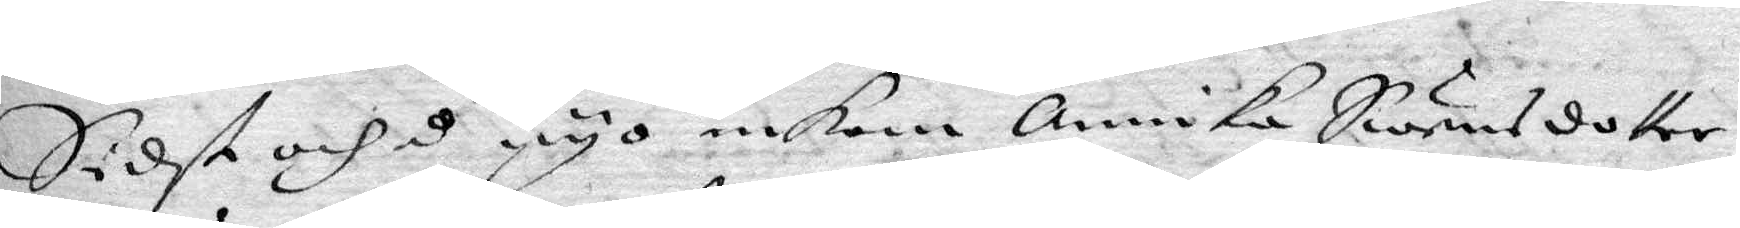Sidst och å nyo inkom Annika Swensdotter
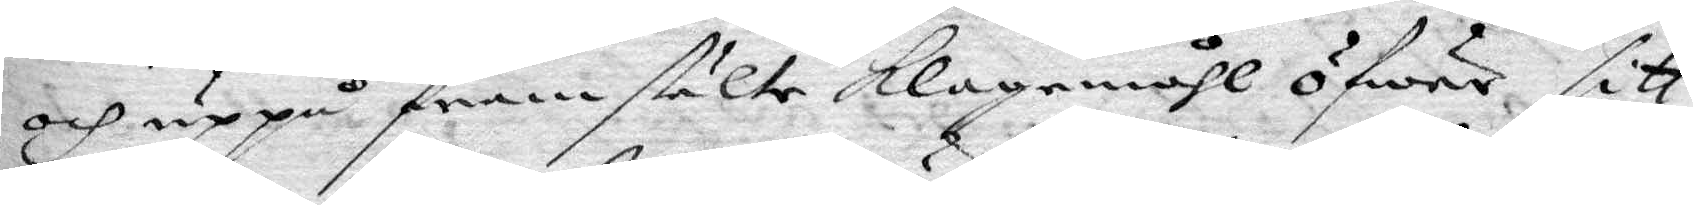och uppå fra,stälte klagomåhl öfwer sitt
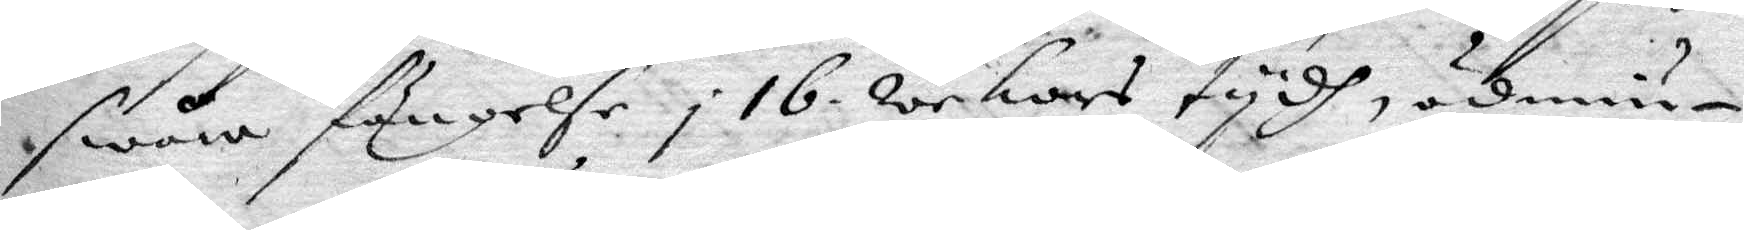swåra fängelse i 16 wekors tydh, ödmiu¬
